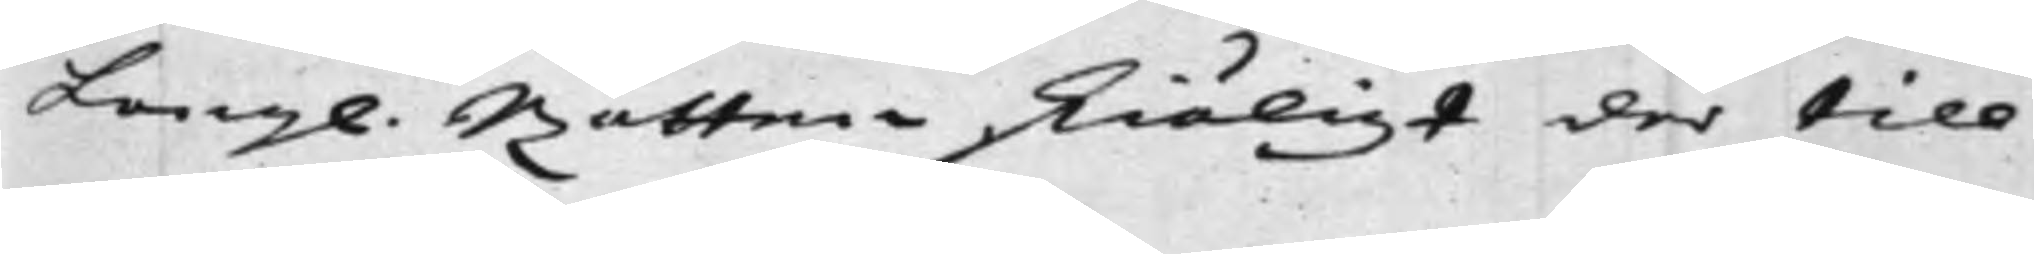Kong. Rätten skiäligt der till
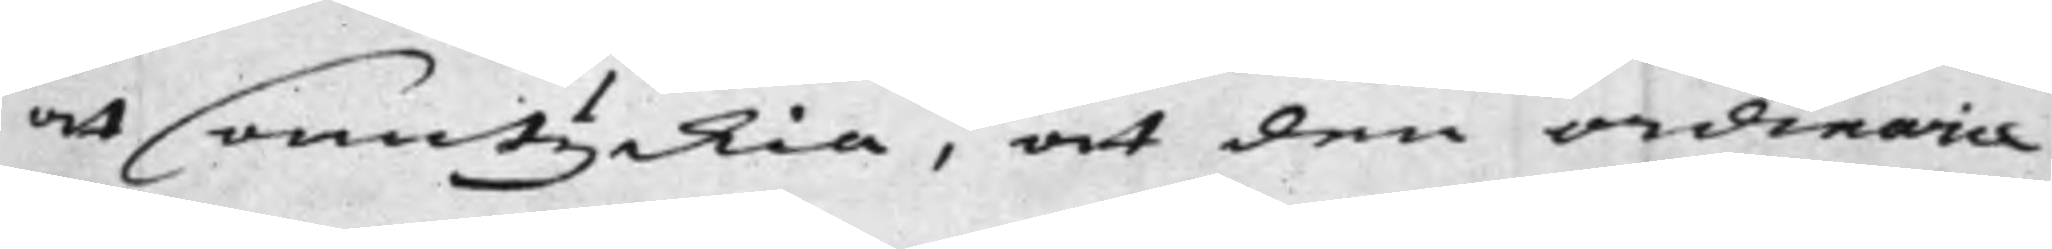at Samtyckia, at den ordinarie
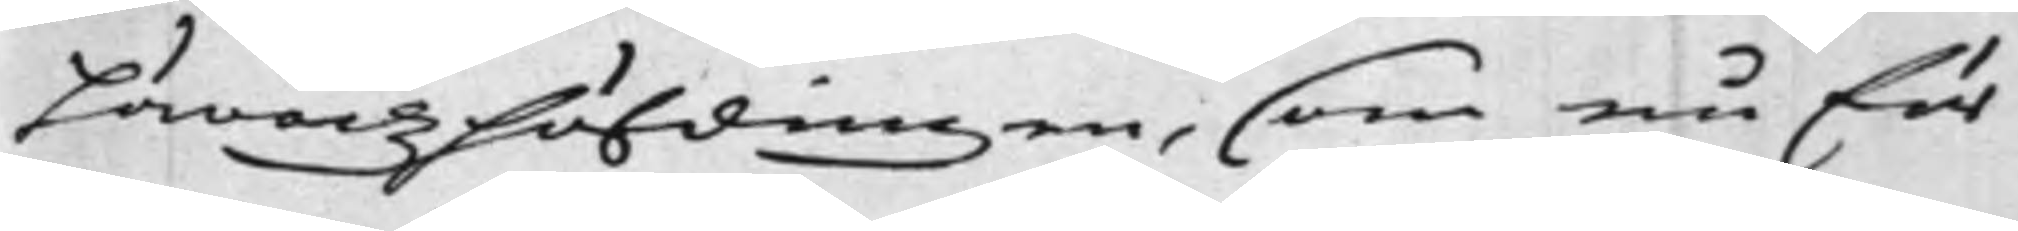Häradzhöfdingen, som nu för
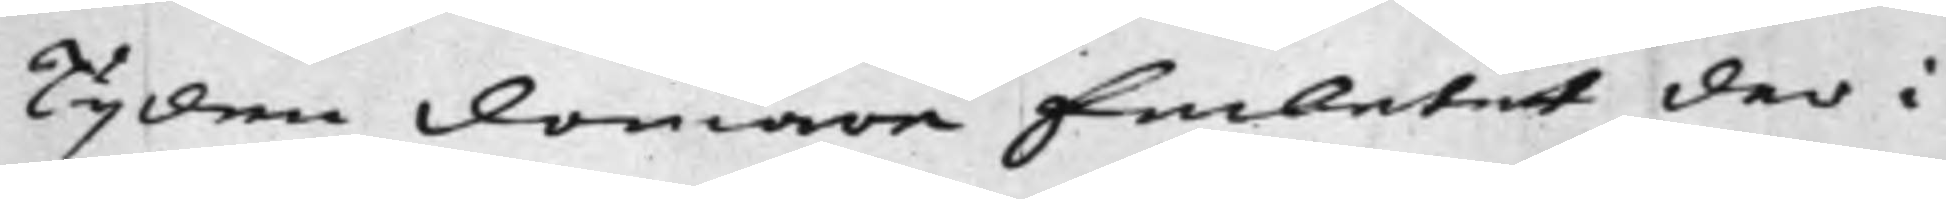Tijden Domare Embetet der i
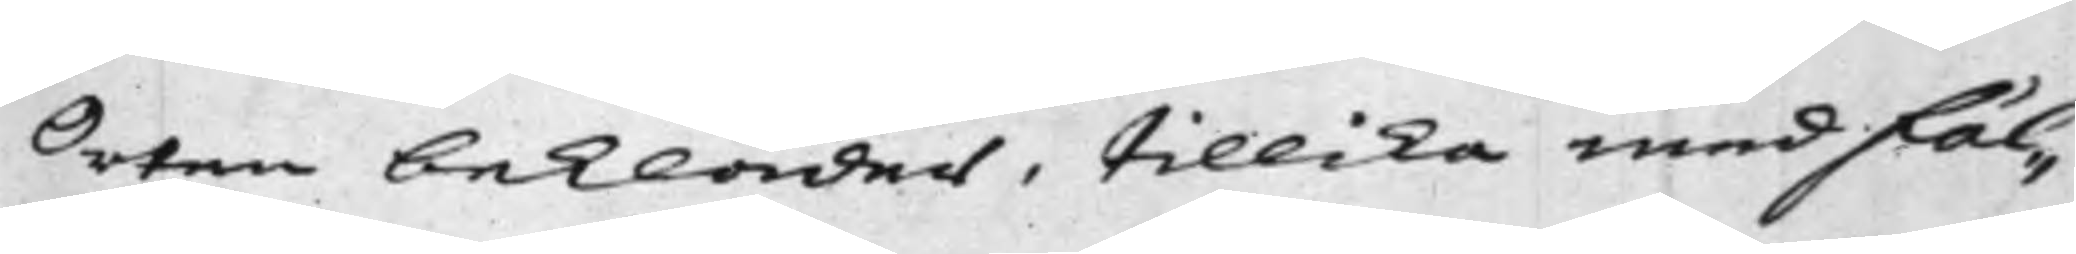Orten bekläder, tillika med Fäl¬
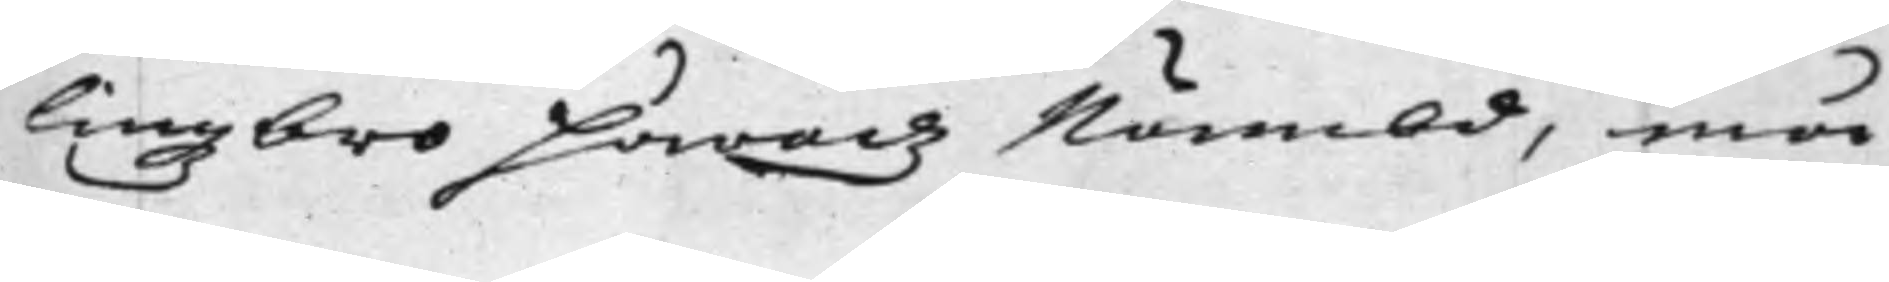lingzbro Häradz Nämbd, må
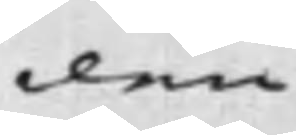den
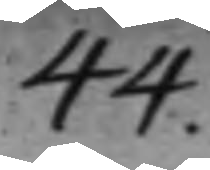44.
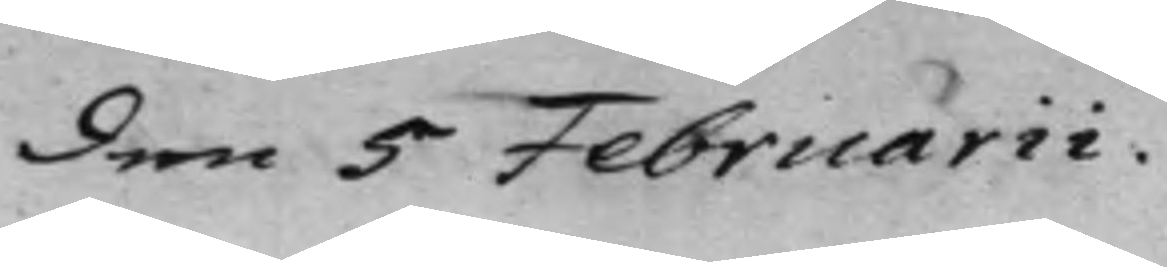den 5 Februarii.
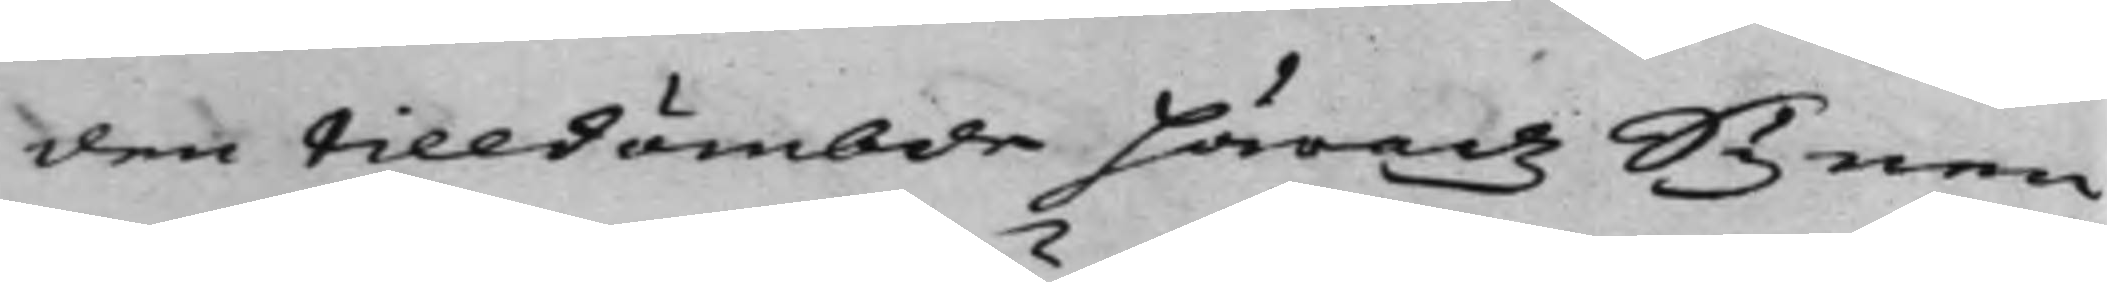den tilldömbde Häradz Synen
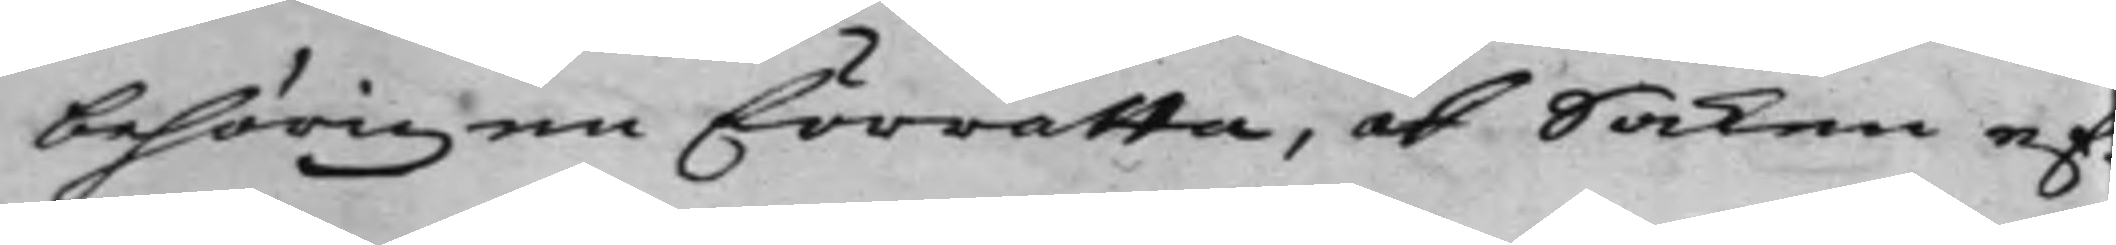behörigen förrätta, och Saken ef¬
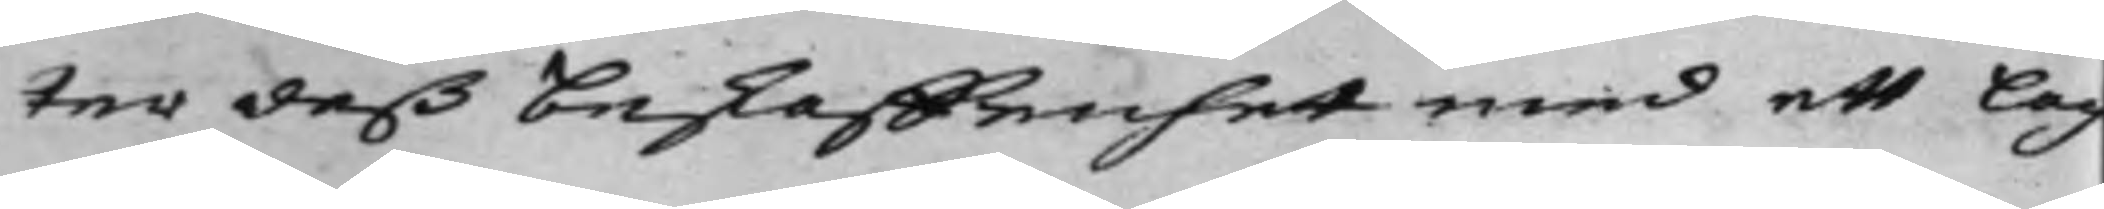ter deß beskaffenhet med ett Lag
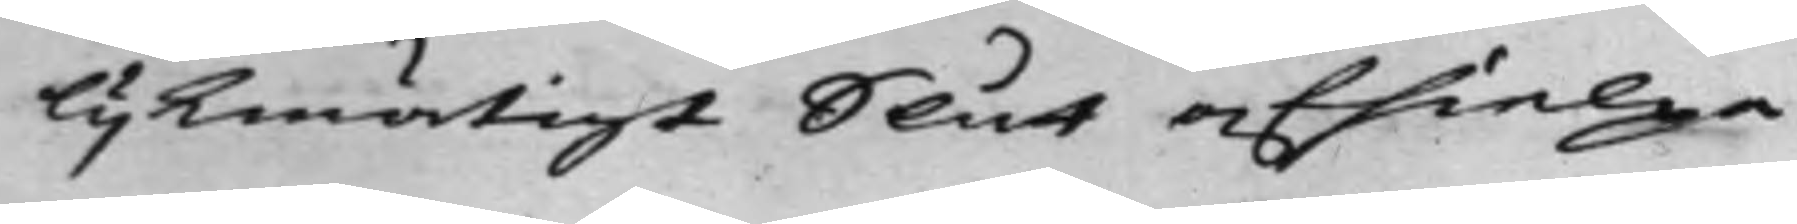lijkmätigt Slut afhielpa.
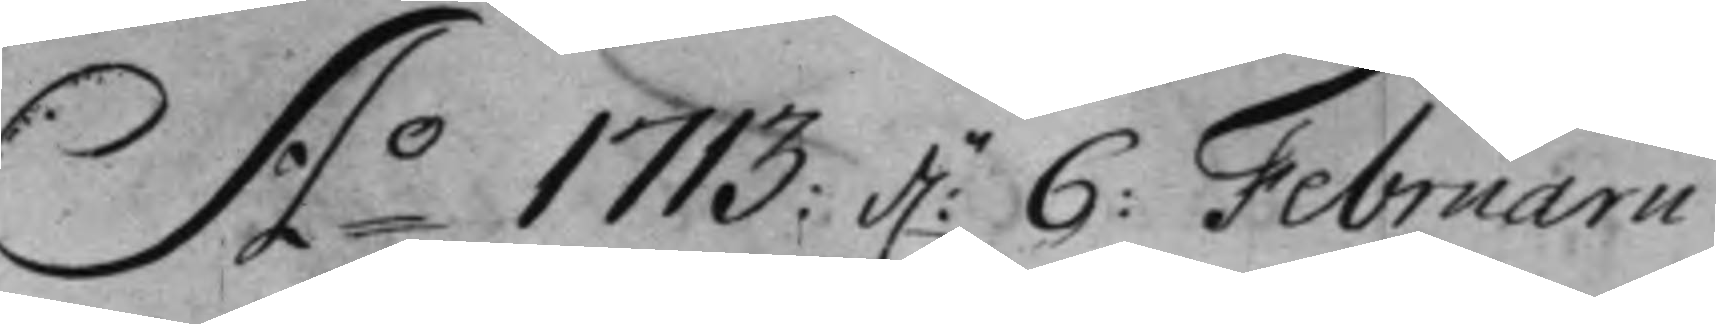A:o 1713: d:n 6: Februarii
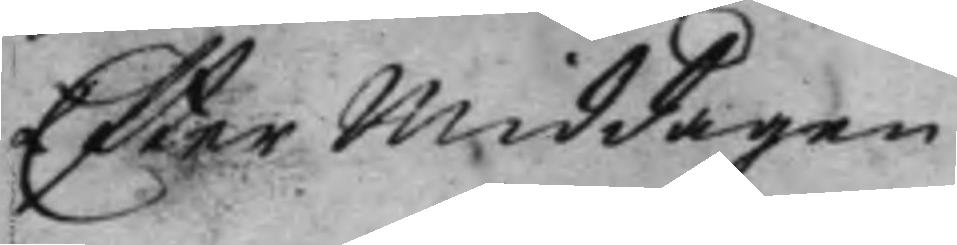Efter Middagen.
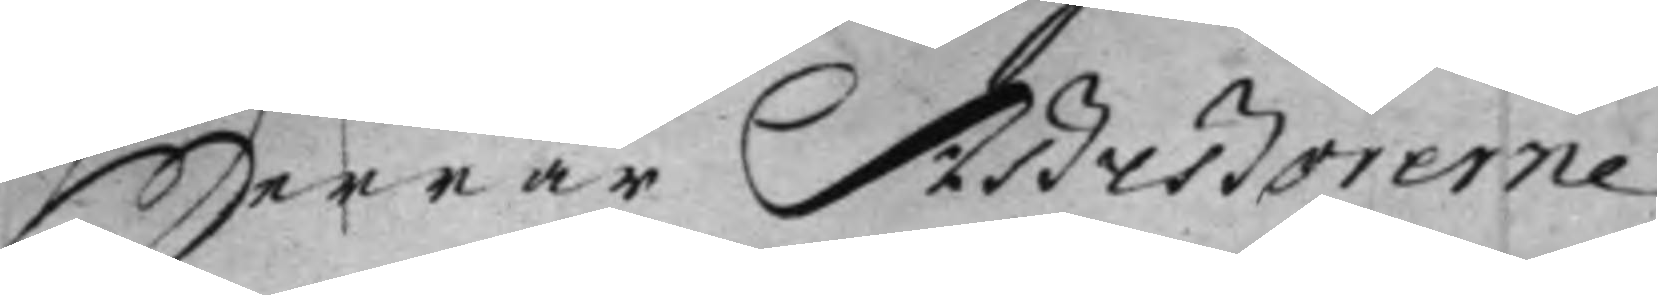Herrar Assessorerne.
